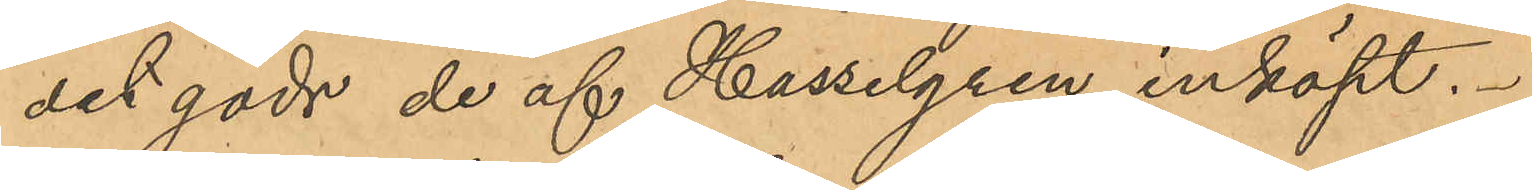det gods de af Hasselgren inköpt.
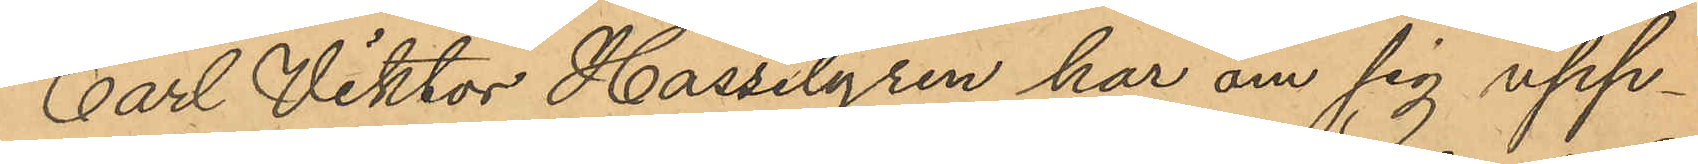Carl Viktor Hasselgren har om sig upp¬
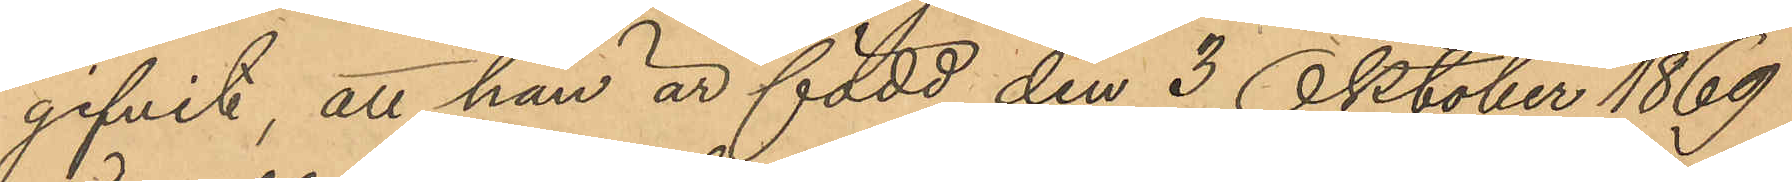gifvit, att han är född den 3 Oktober 1869
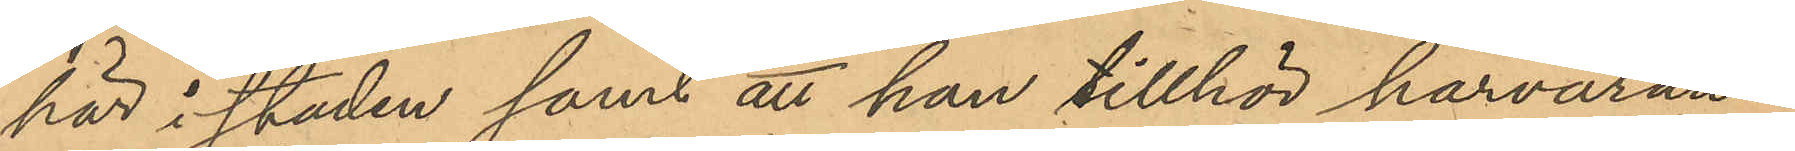här i staden samt att han tillhör härvaran¬
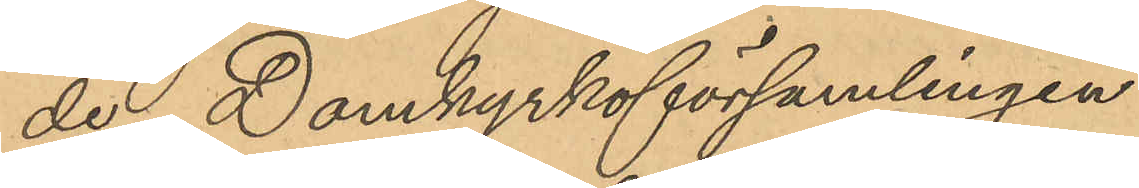de Domkyrkoförsamlingen.
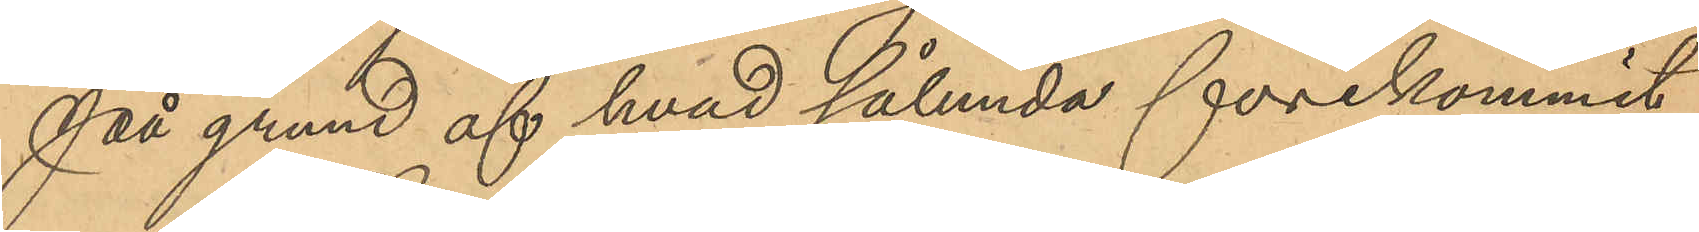På grund af hvad sålunda förekommit
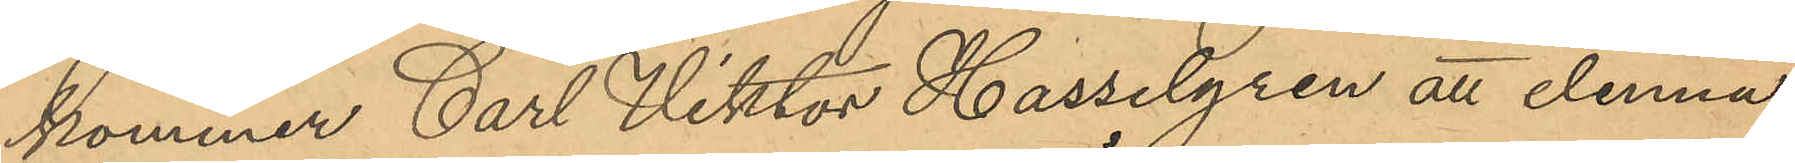kommer Carl Viktor Hasselgren att denna
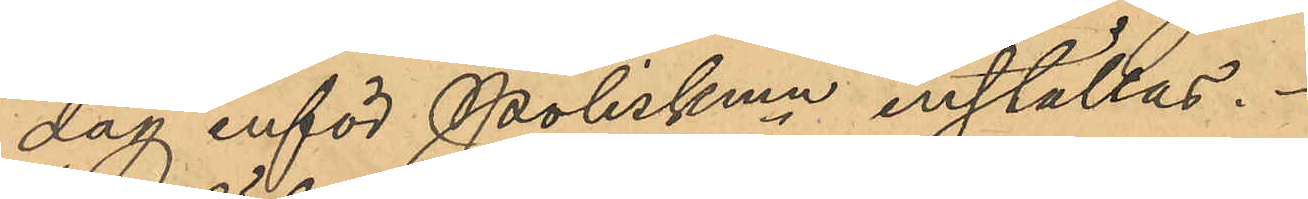dag inför Poliskmn inställas.
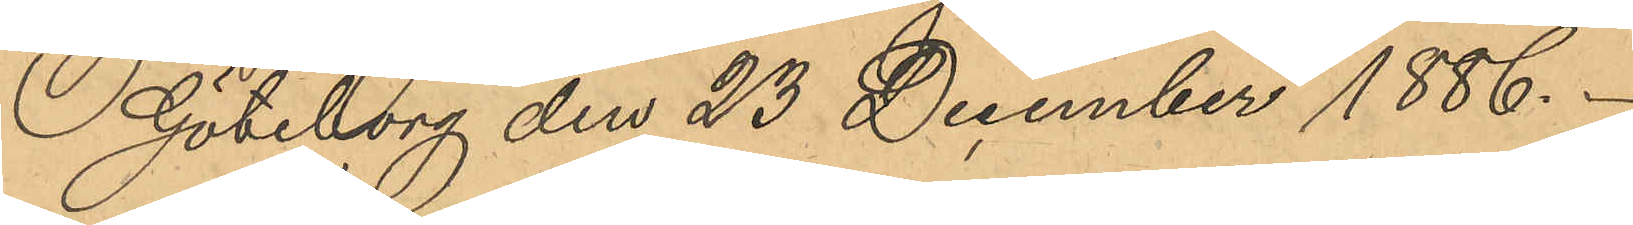Göteborg den 23 December 1886.
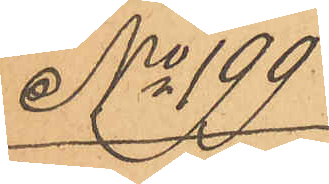No 199
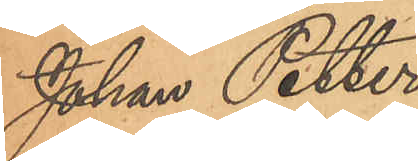Johan Petter
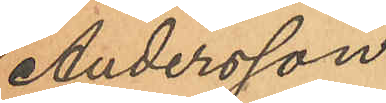Andersson
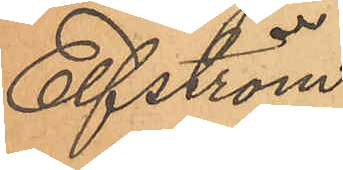Elfström
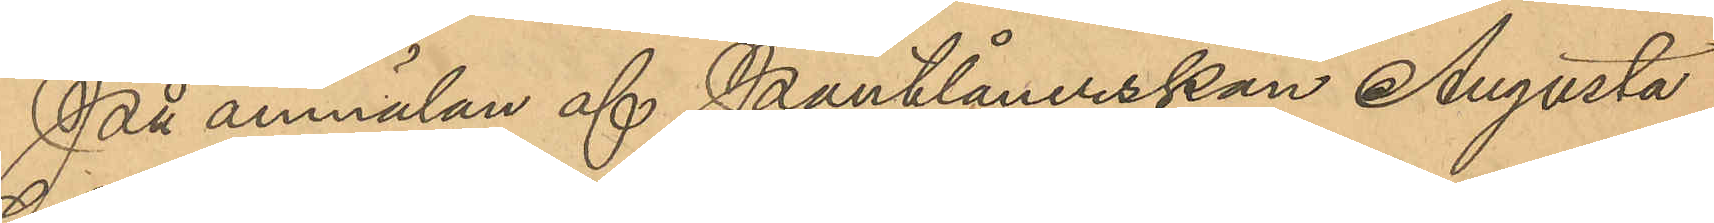På anmälan af Pantlånerskan Augusta
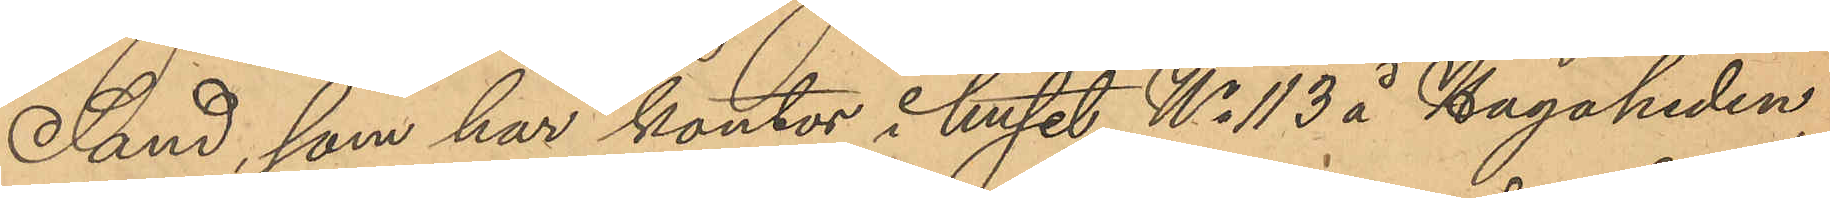Sand, som har kontor i huset No 113 å Hagaheden,
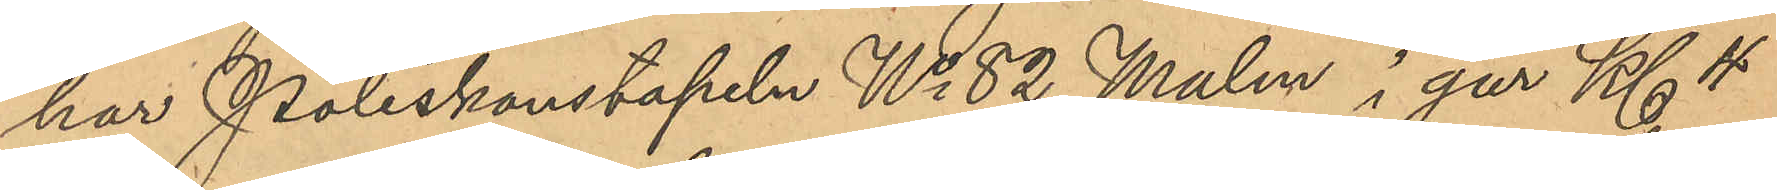har Poliskonstapeln No 82 Malm i går Kl 4
